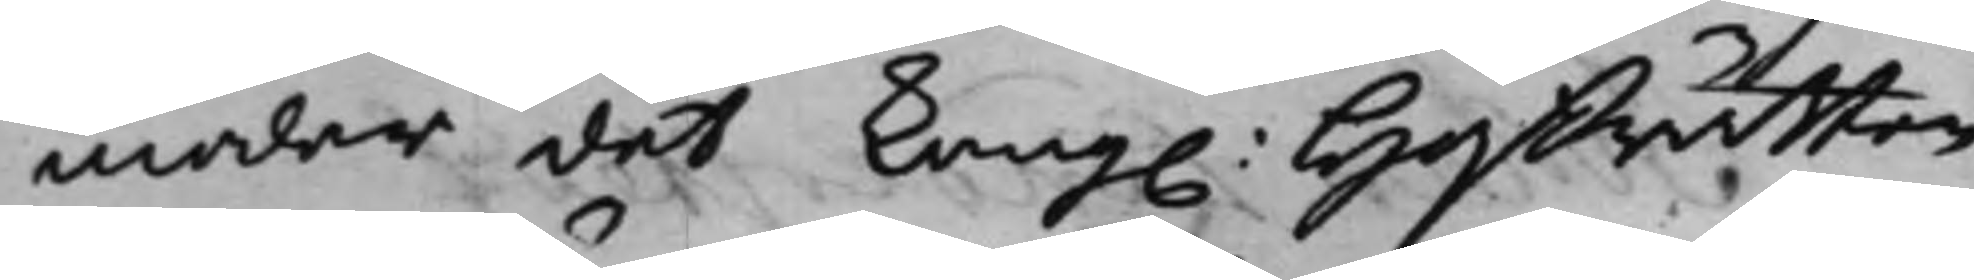modar, det Kong: Hoffrätten
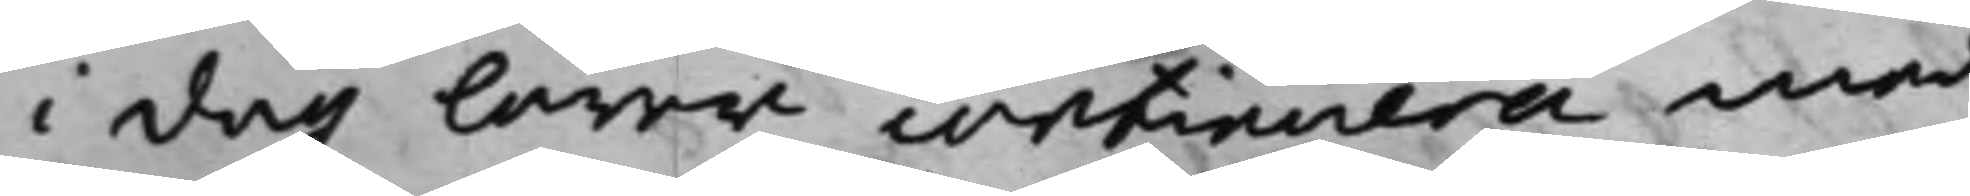i dag lärer continuera med
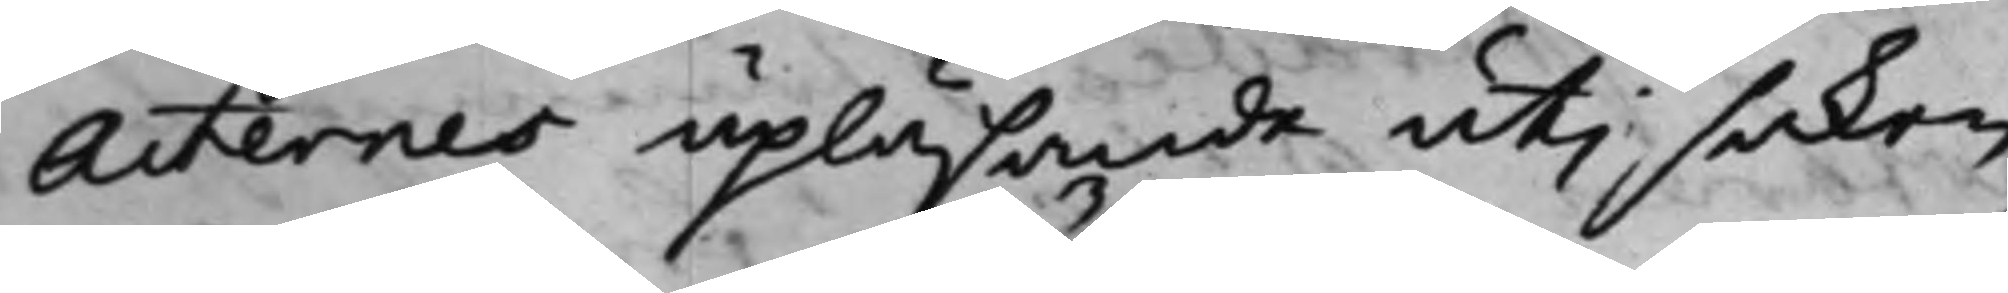Acternes upläsande uti saken
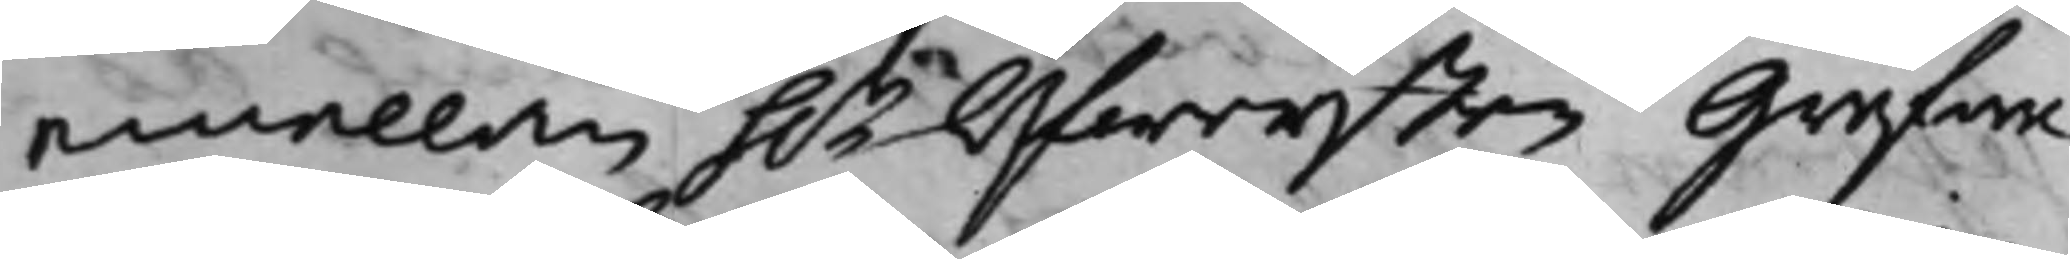emellan h.r Öfwersten Grefwe
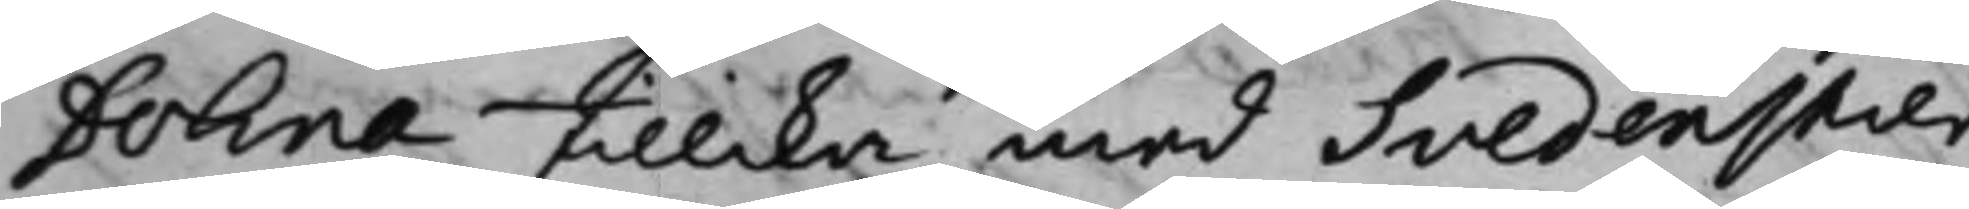Dohna tillika med Svedenstier¬
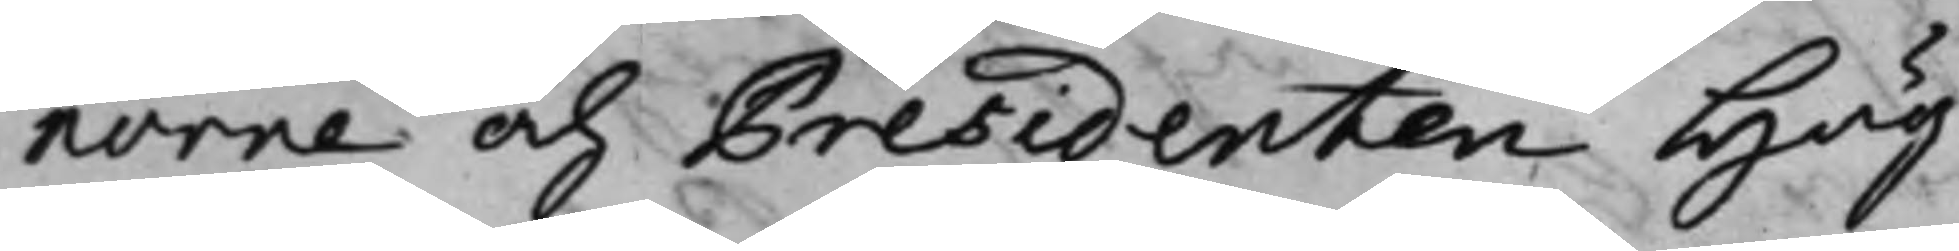norne och Presidenten Hög¬
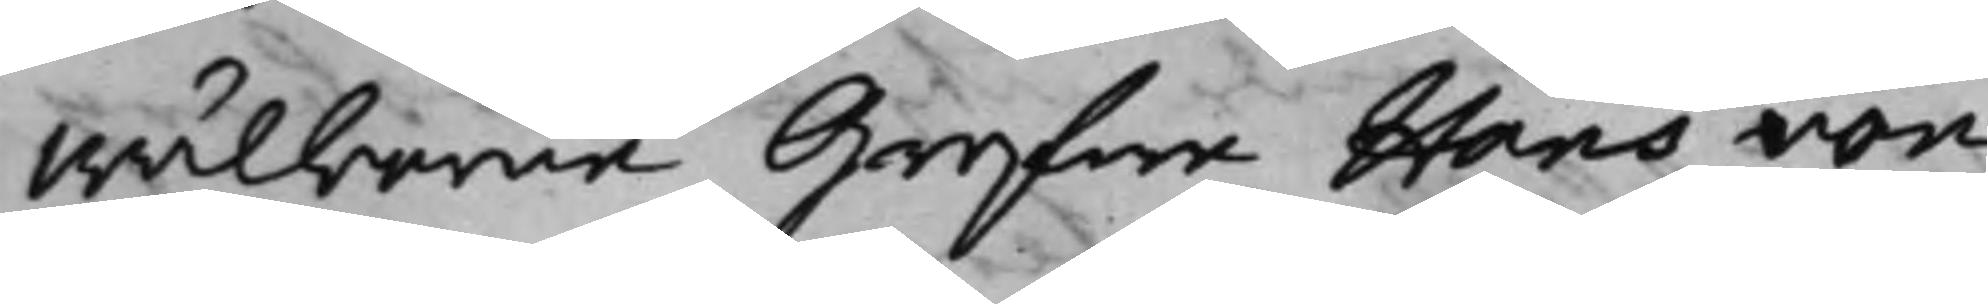wälborne Grefwe Hans von
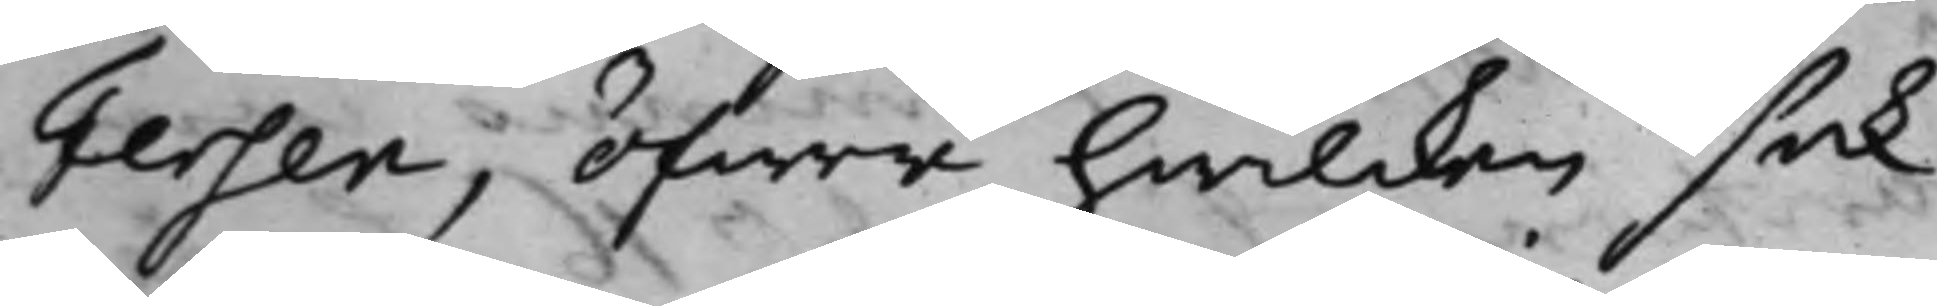Fersen, öfwer hwilcken sak
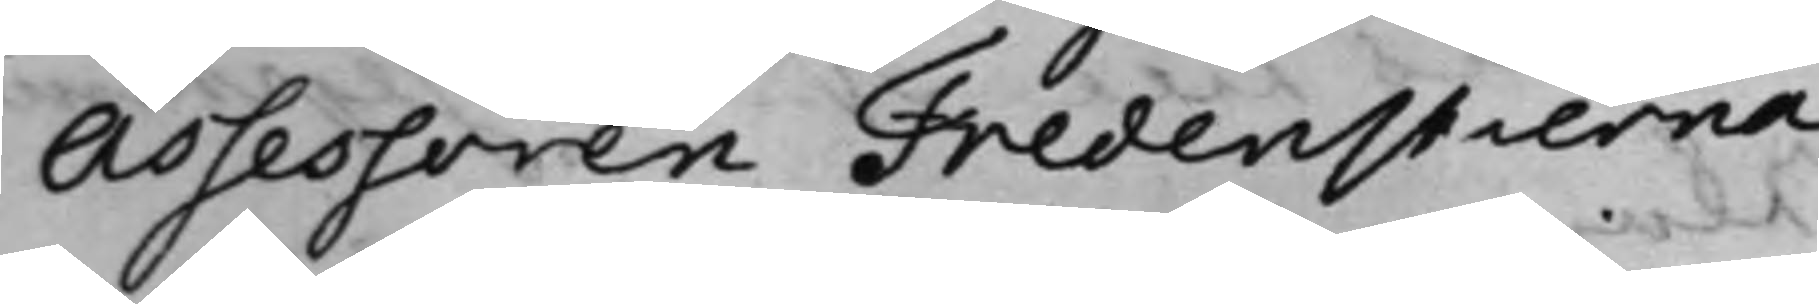Assessoren Fredenstierna
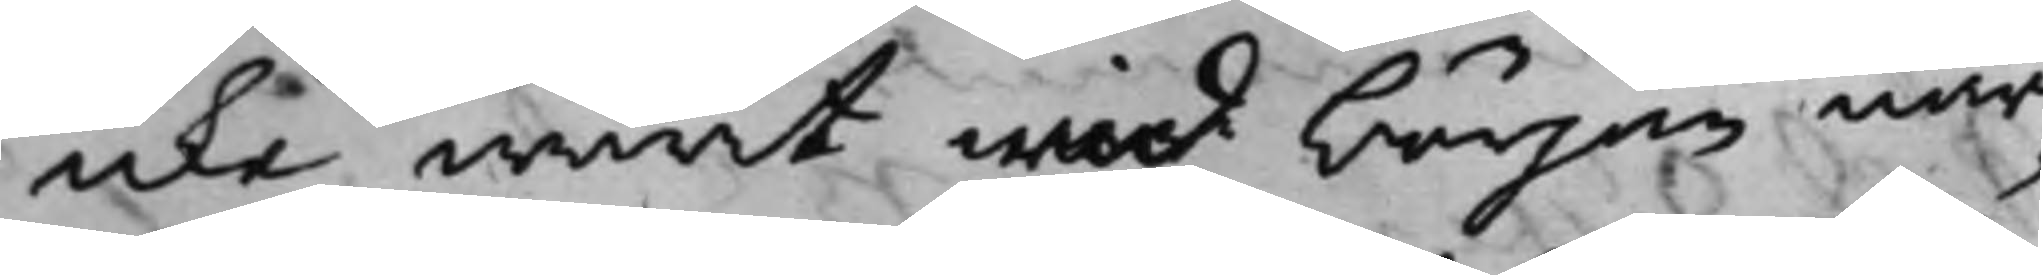icke warit wid början, när¬
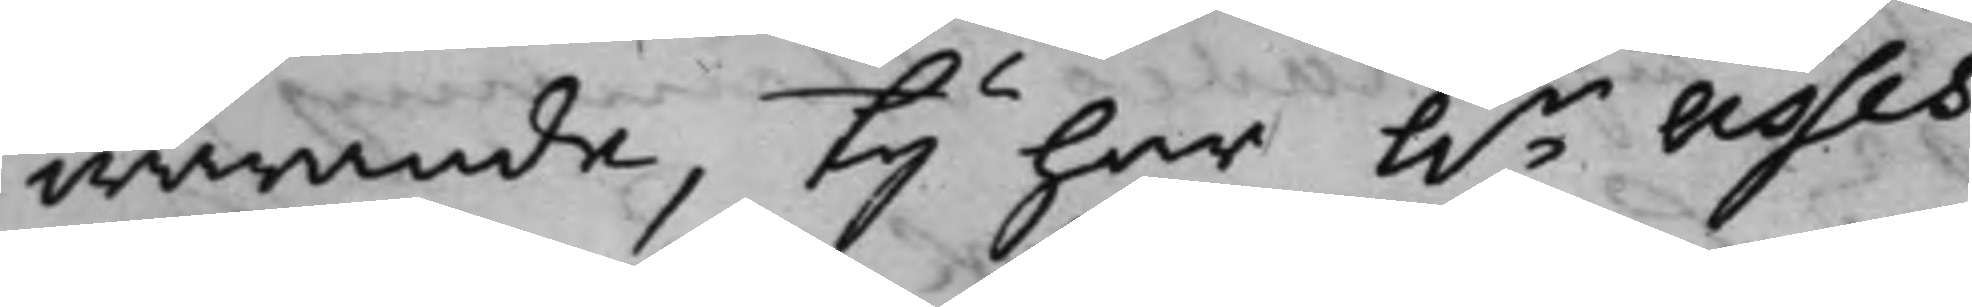warande, Ty har h.r Asses¬
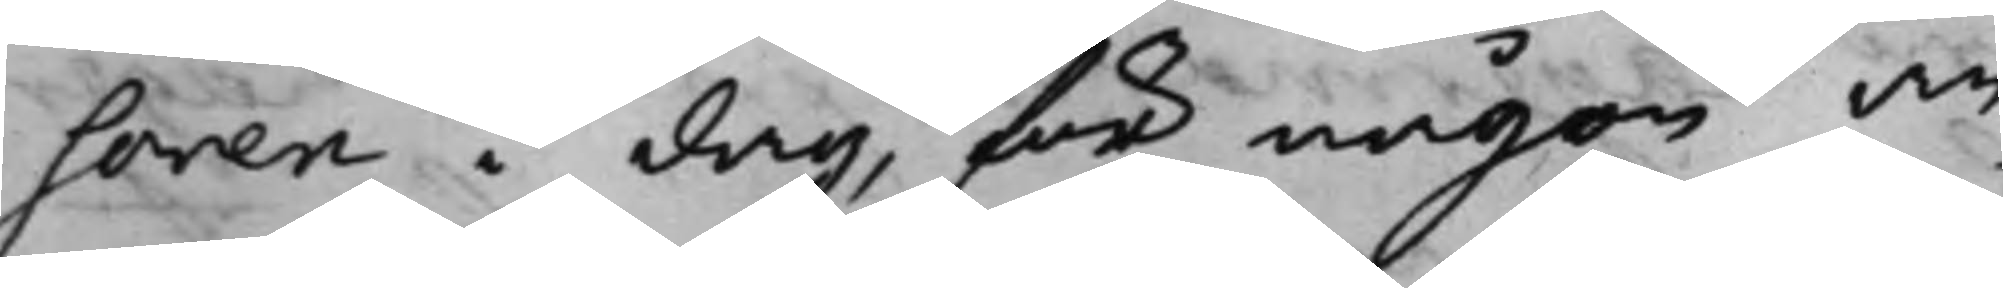soren i dag, för någon an¬
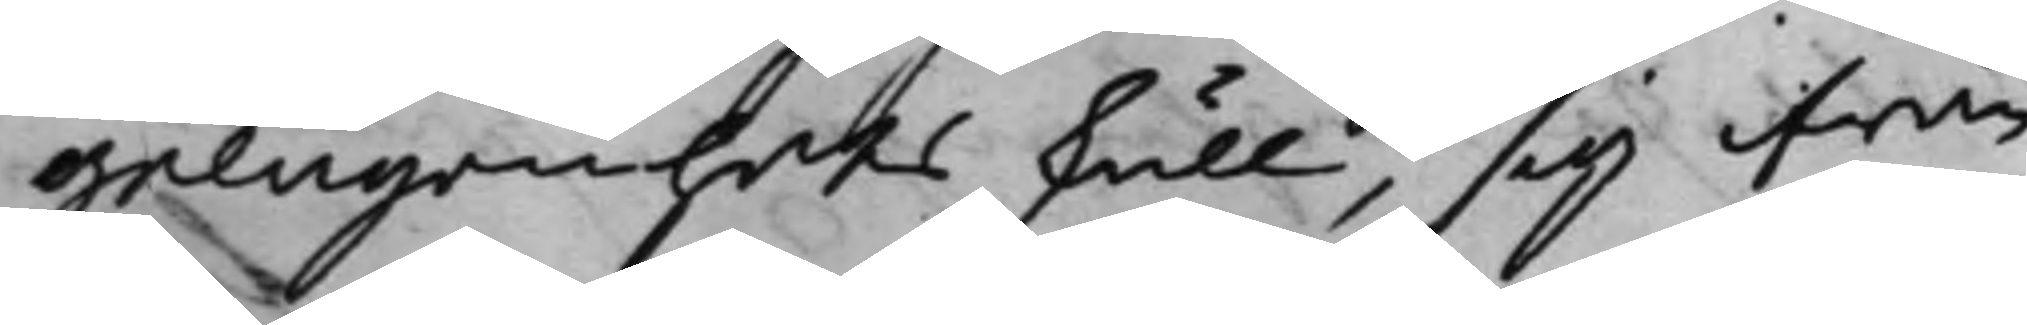gelägenhets skull, sig ifrån
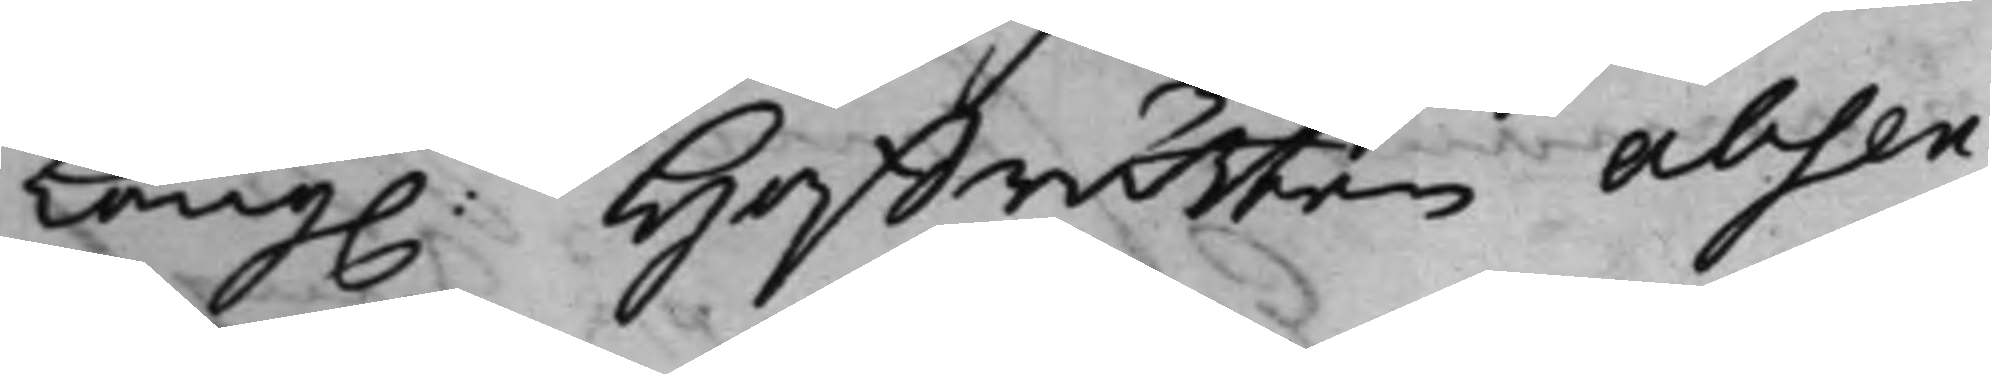Kong: Hoffrätten absen¬
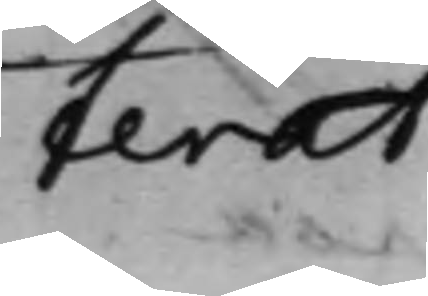terat.
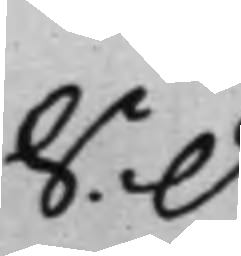S: d:
